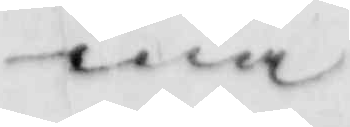ma
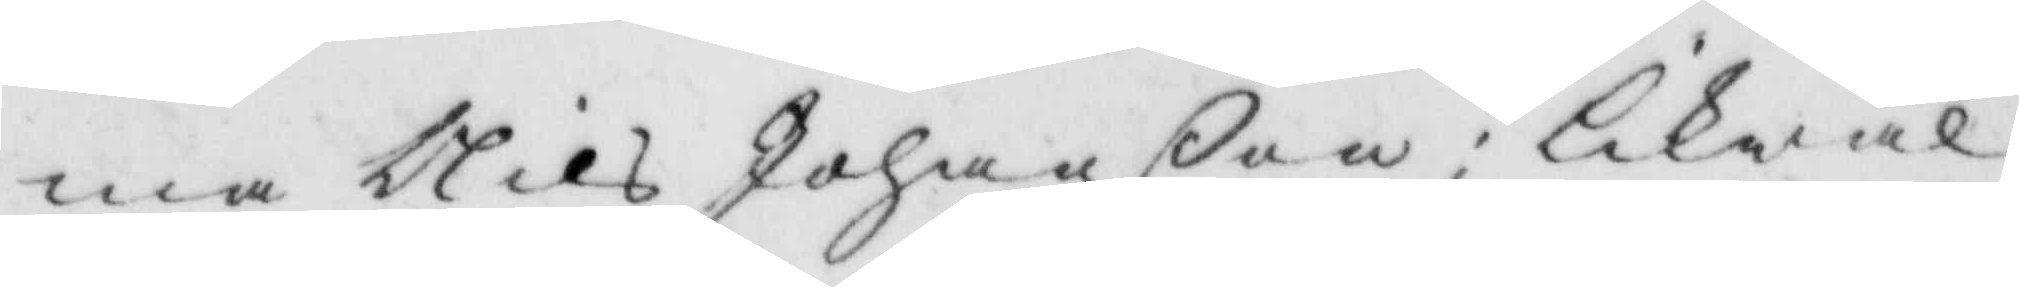ma Nils Johanßon: likwäl
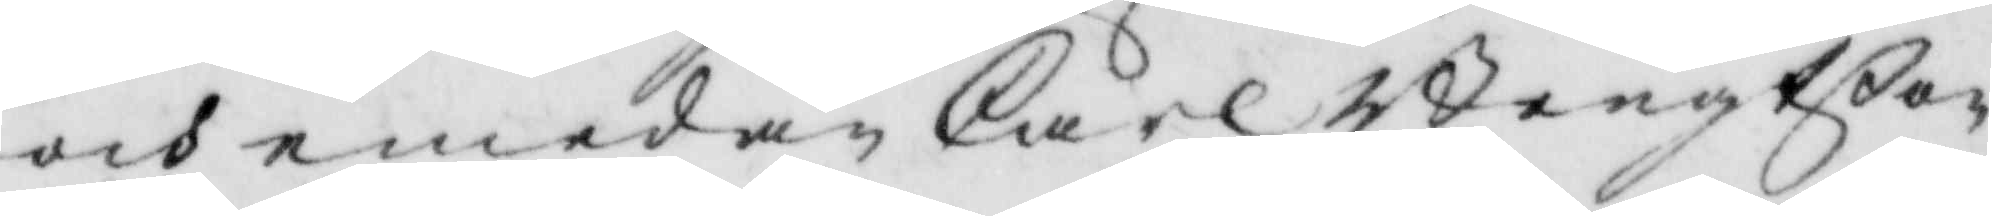och emedan Carl Bengtßon
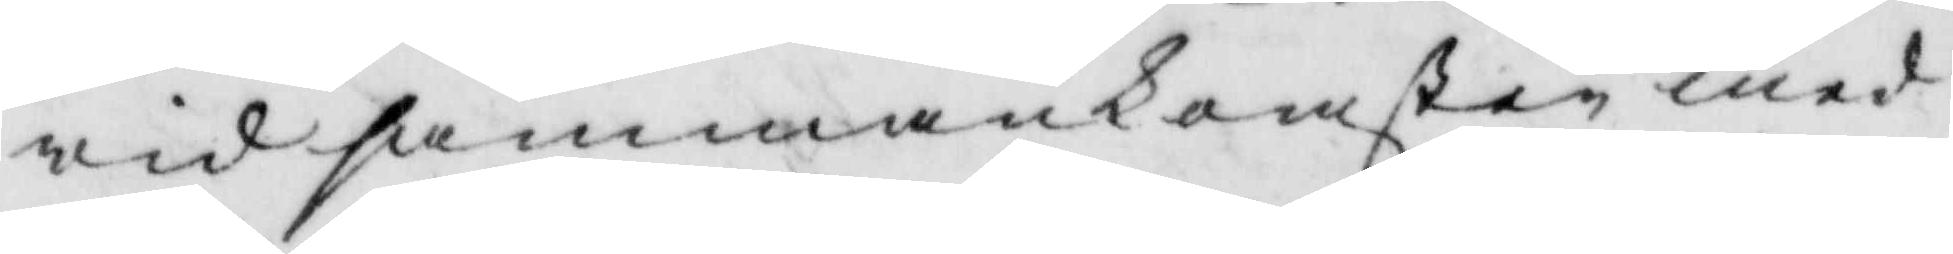wid sammankomsten med
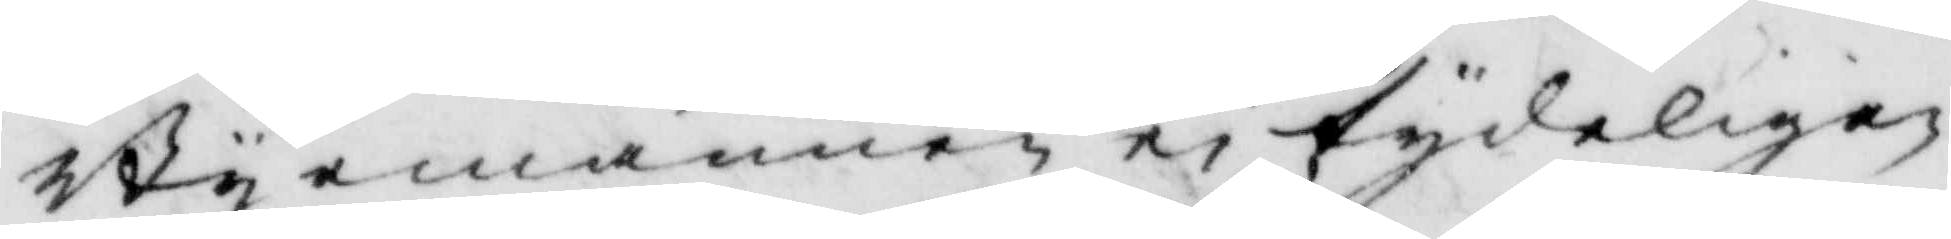Byemännen ei tydeligen
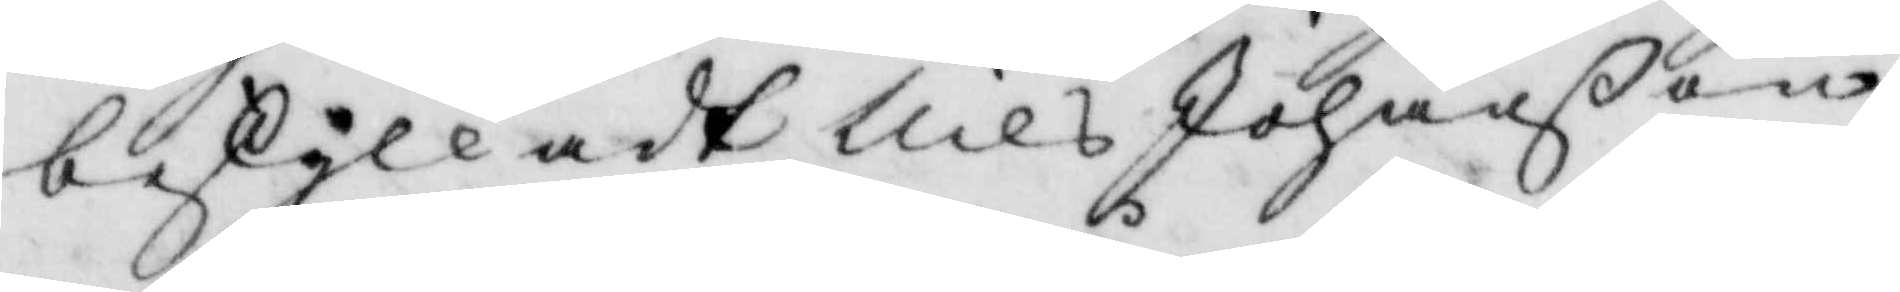beskylladt Nils Johanßon
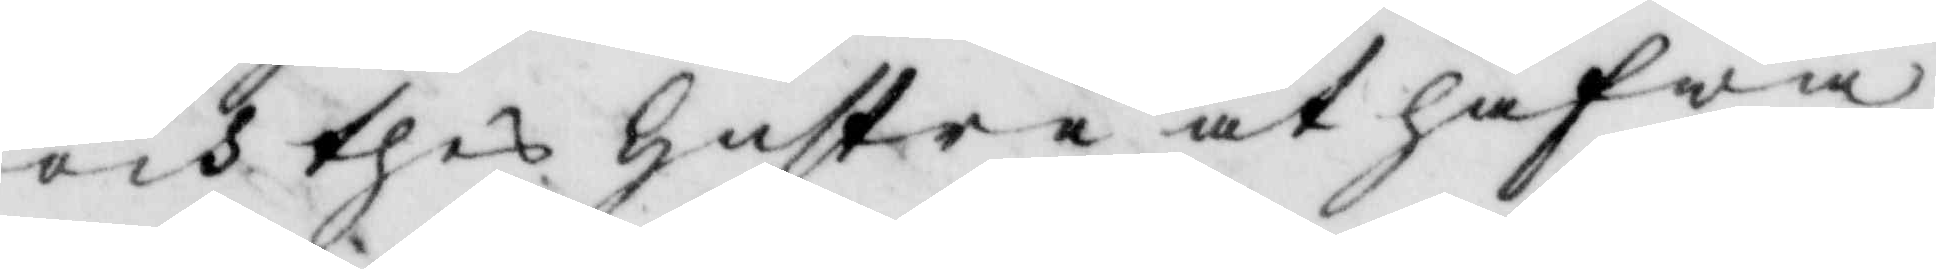och thes hustru at hafwa
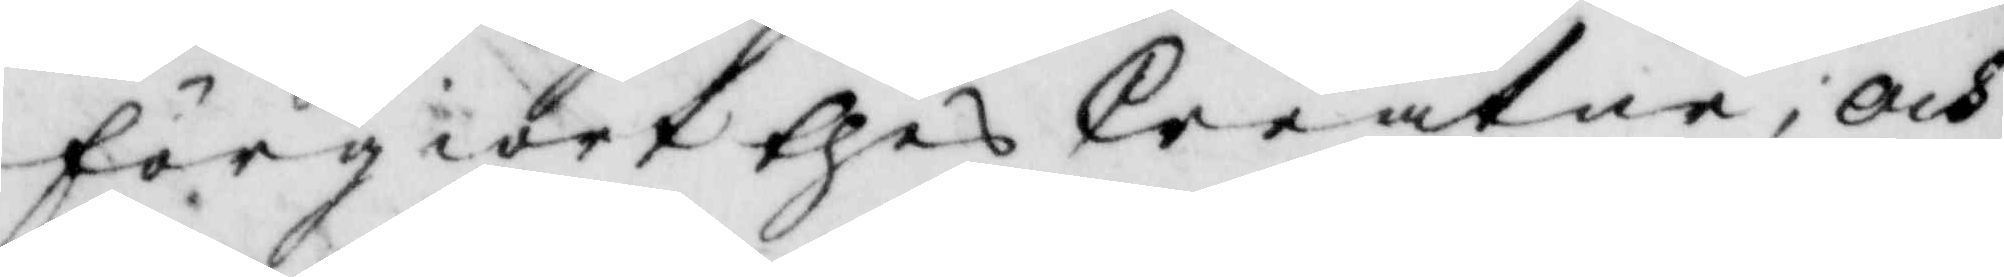förgiort thes Creatur; och
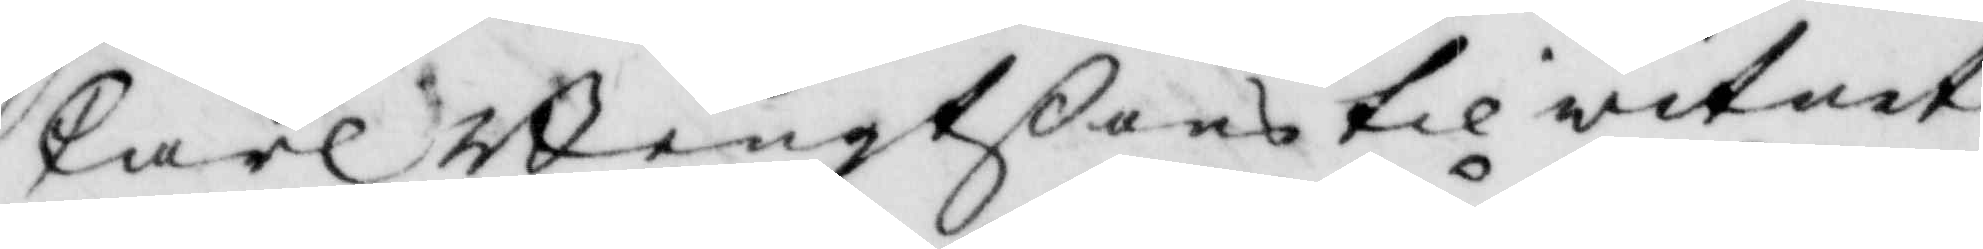til witnetCarl Bengtßon 
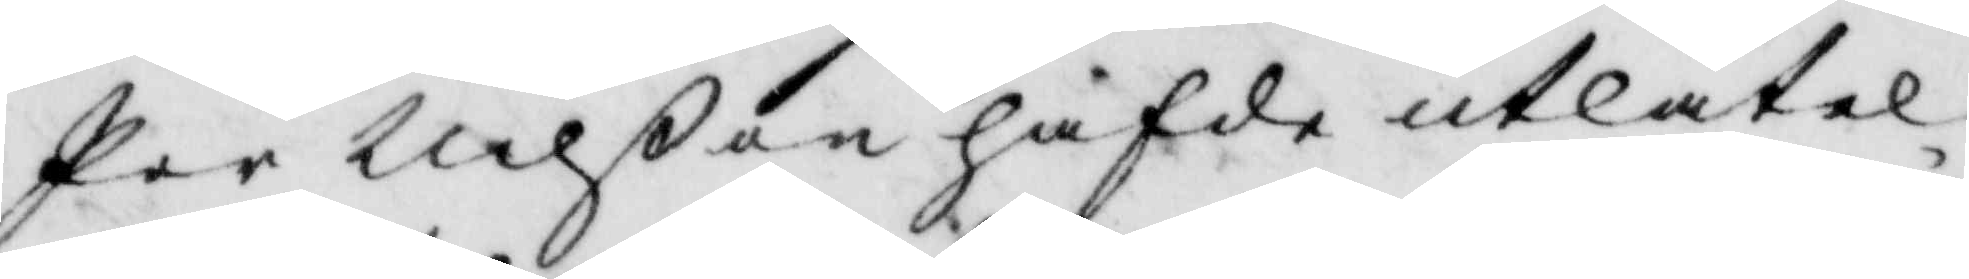Per Nilßon hafde utlåtel¬
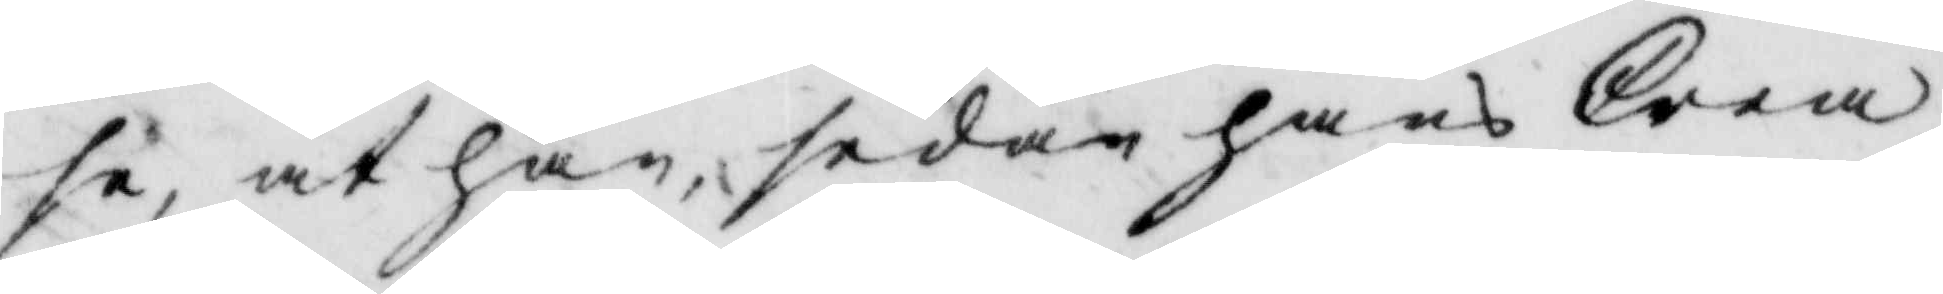se, at han, sedan hans Crea¬
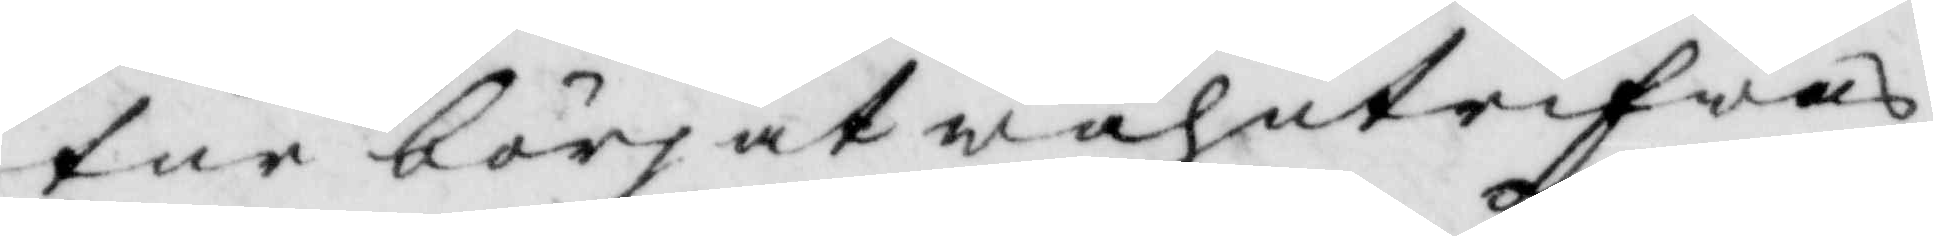tur börjat wahntrifwas,
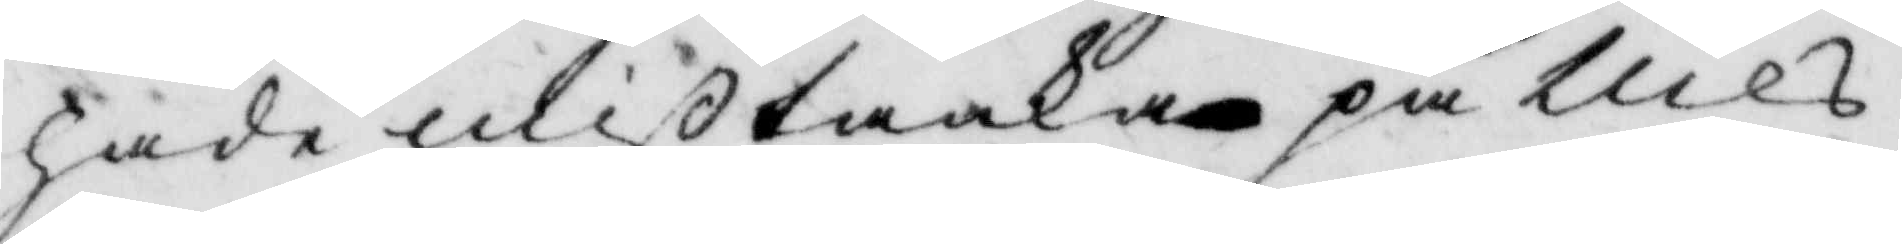hade mißtanka på Nils
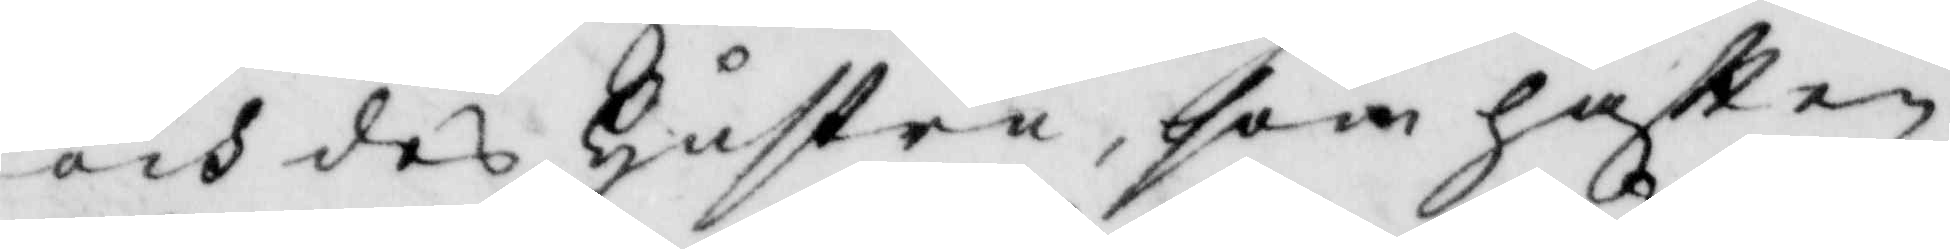och des hustru, som haftt en
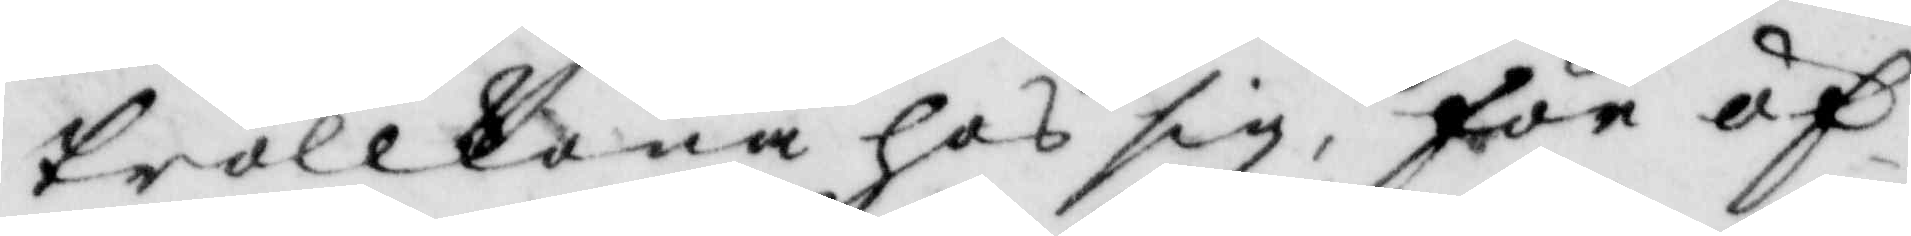Trollkona hos sig, för öf¬
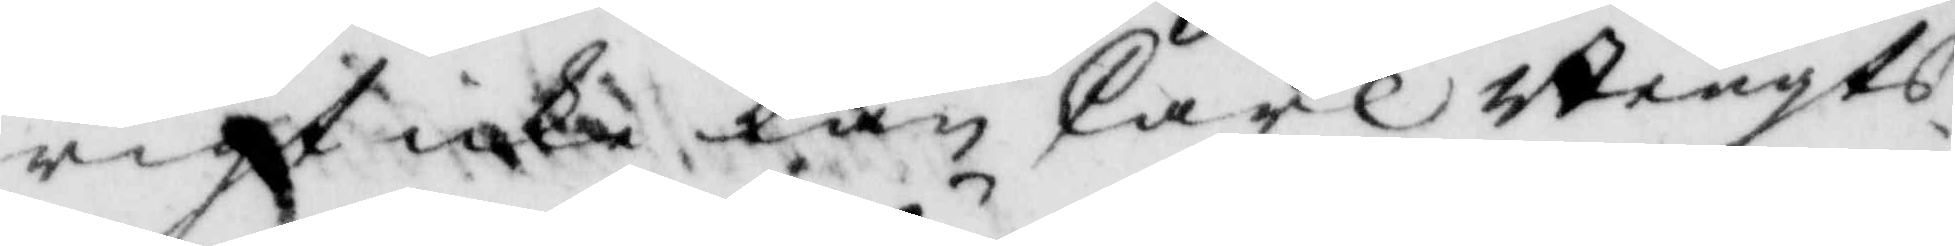rigt icke kan Carl Bengts¬
